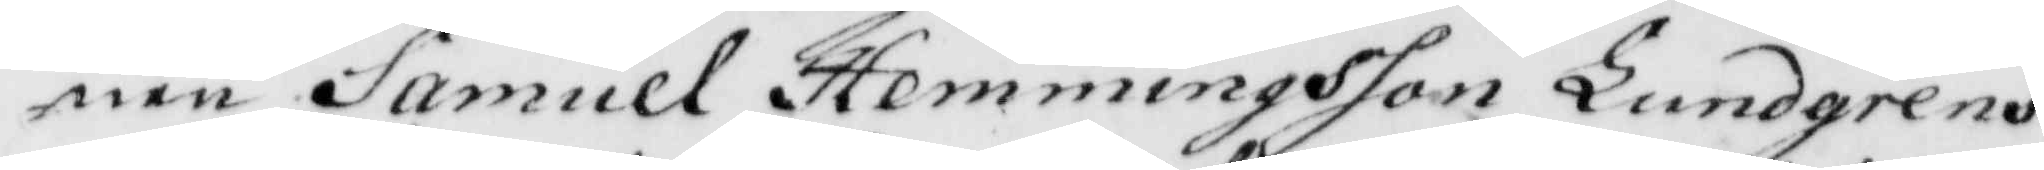nen Samuel Hemmingsson Lundgrens
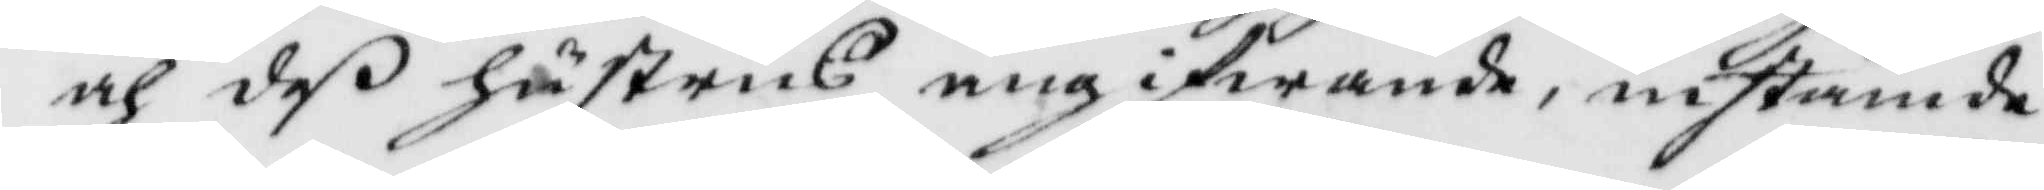och deß hustrus angifwande, instämde
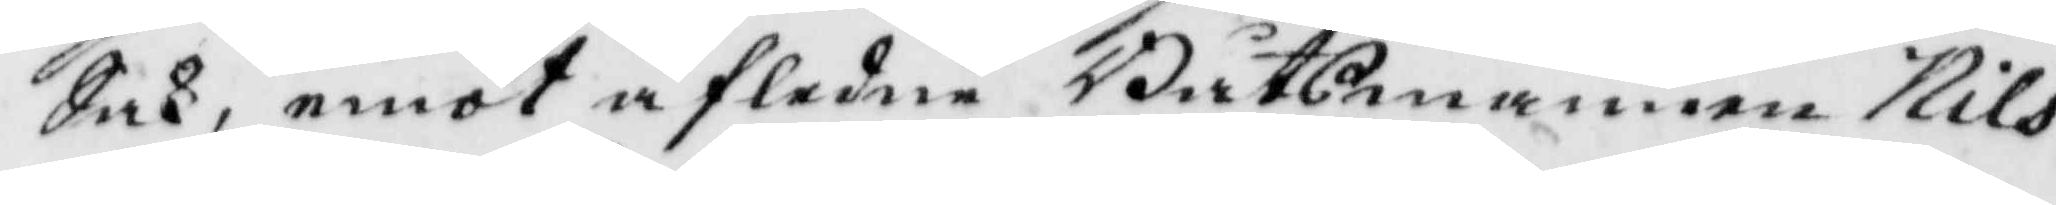Sak, emot afledne Båtsmannen Nils
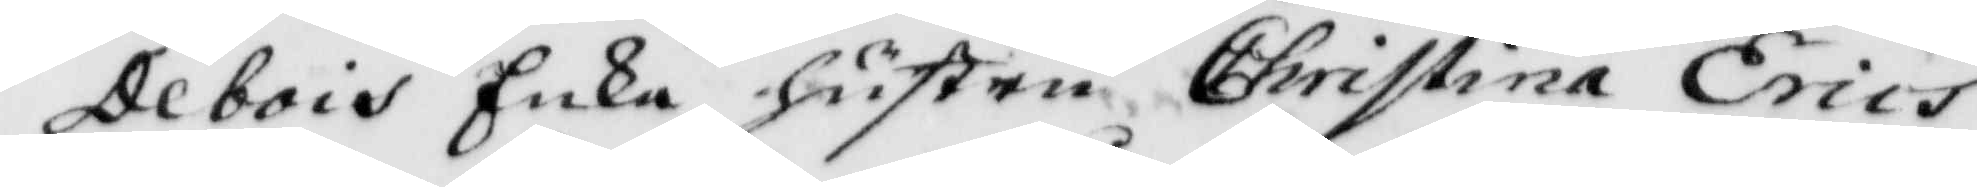Debois Enka hustru Christina Erics¬
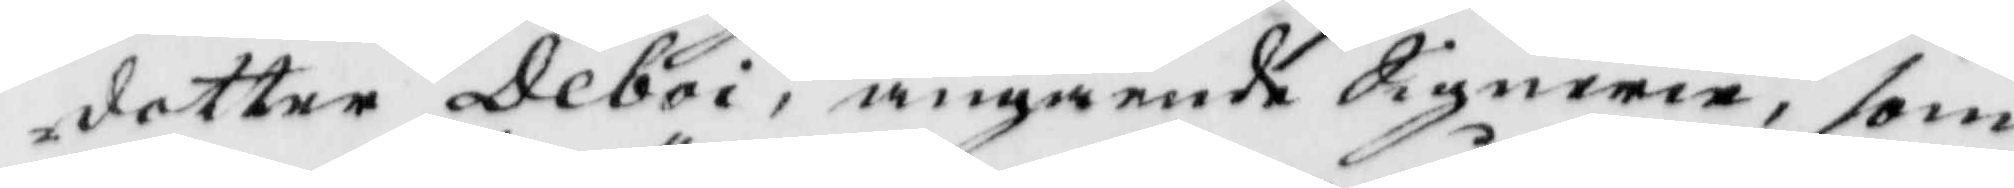dotter Deboi, angående Signerie, som
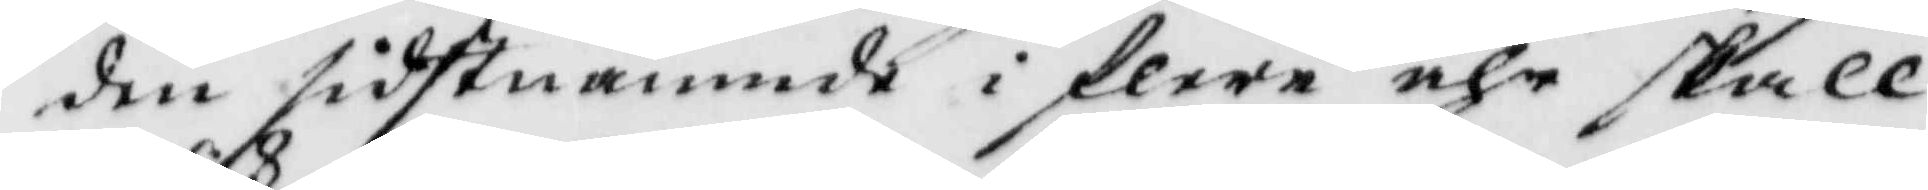den sidstnämnde i flere åhr skall
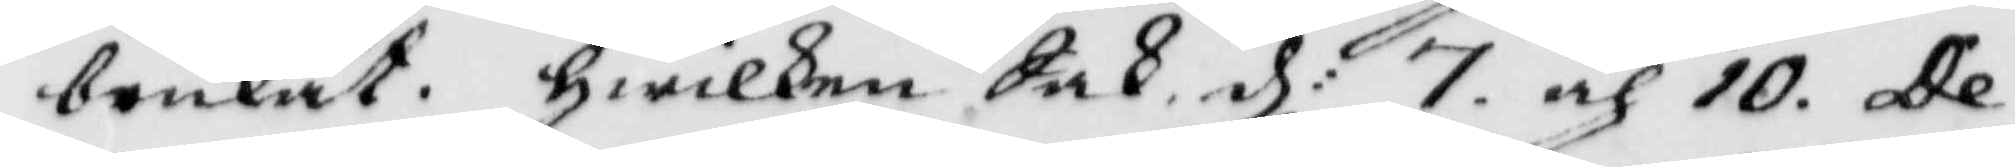brukat, hwilken Sak d: 7 och 10. De¬
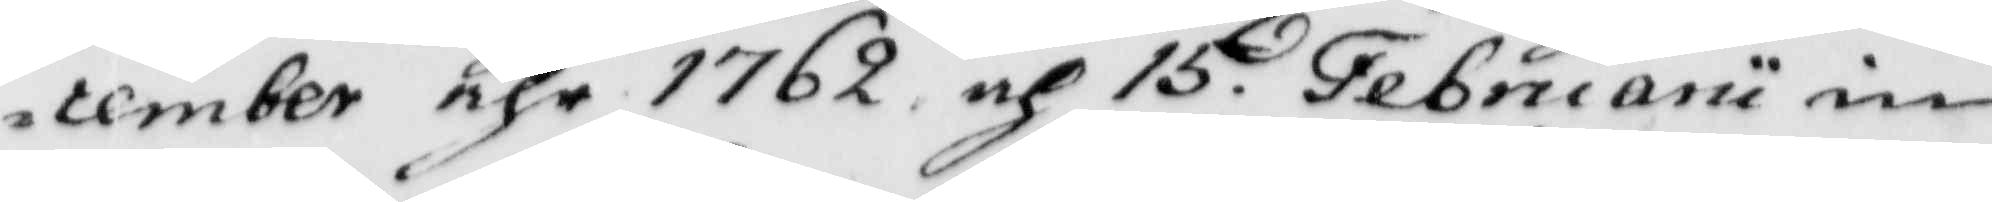cember åhr 1762 och 15. Februarii in¬
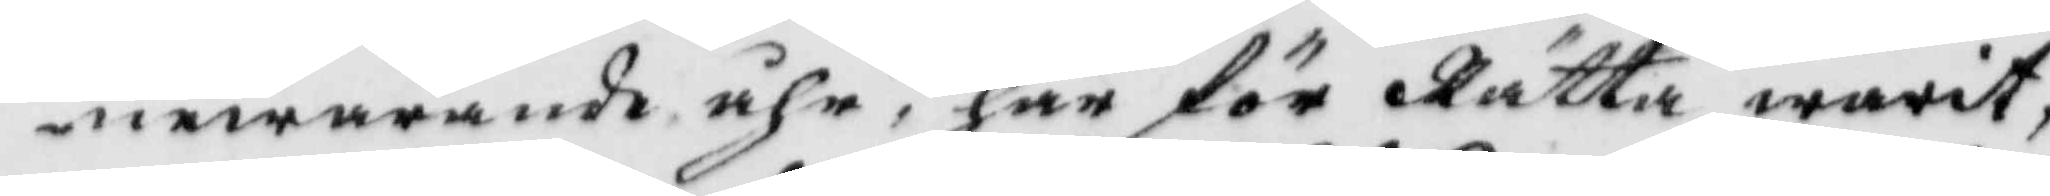newarande åhr, här för Rätta warit.
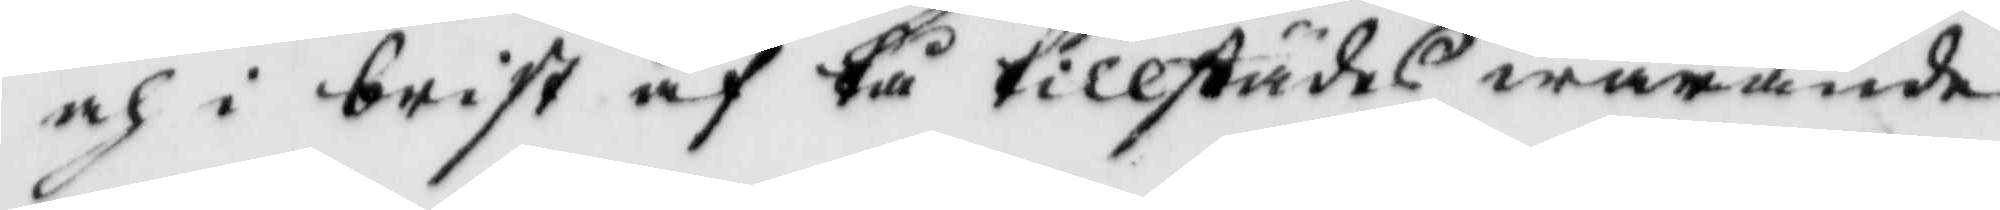och i brist af tå tillstädes warande
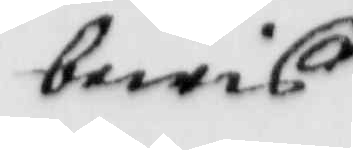bewis
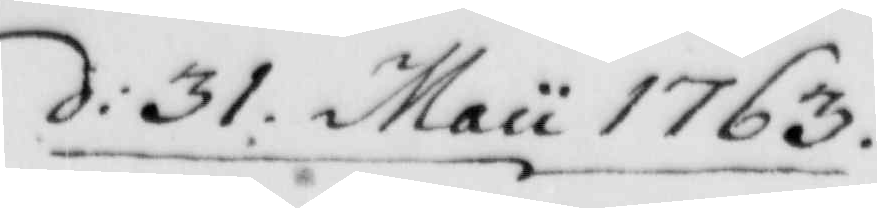d: 31 Maii 1763
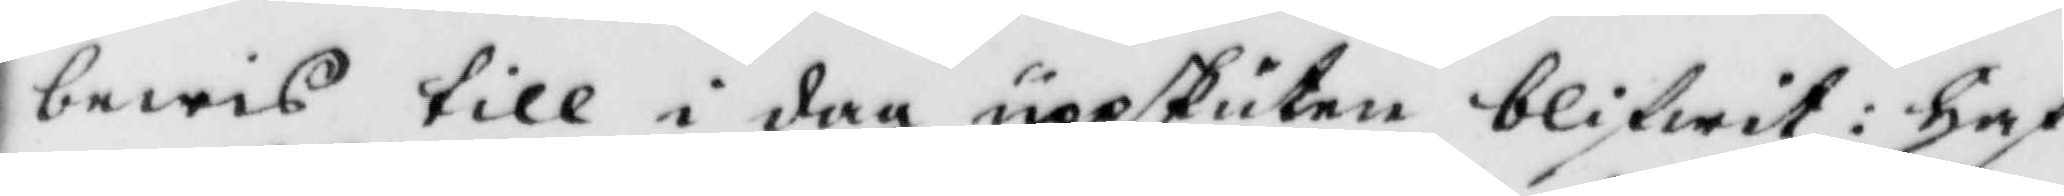bewis till i dag uppskuten blifwit: haf¬
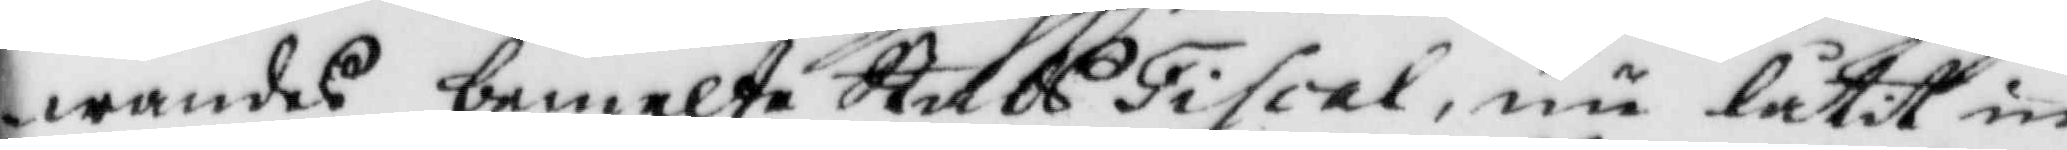wandes bemelte StadsFiscal, nu låtit in¬
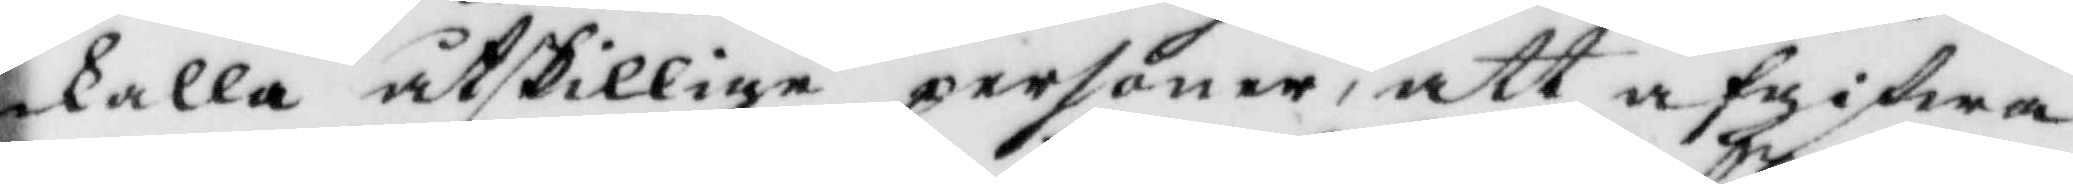kalla åtskillige personer, att afgifwa
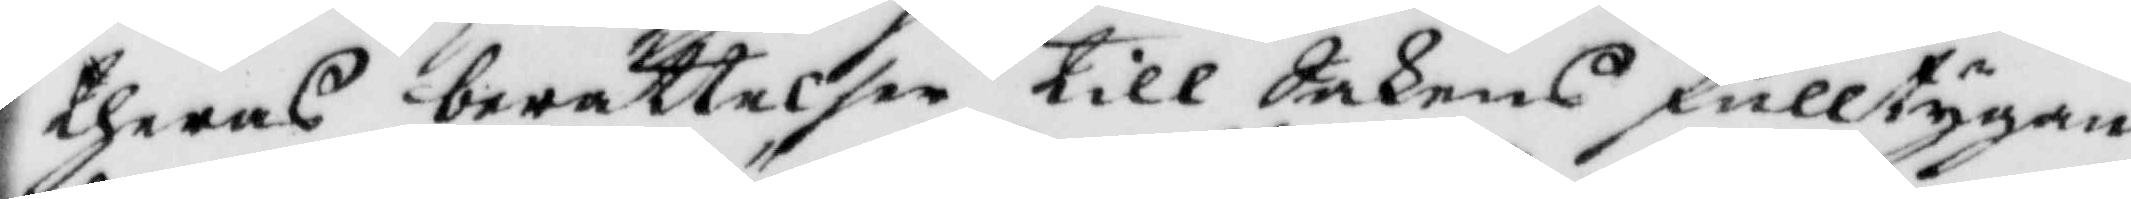theras berättelser till Sakens fulltygan¬
